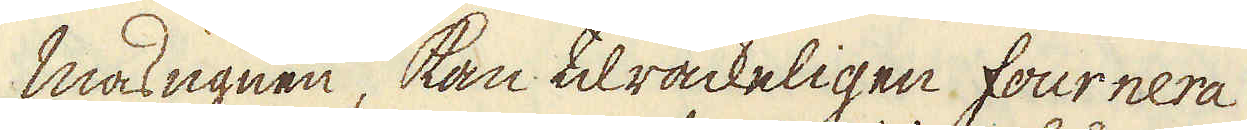masugnen, kan tilräckeligen fournera
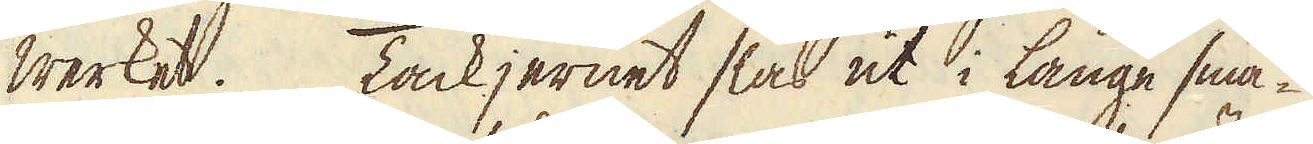werket. Tackjernet slås ut i långa sma-
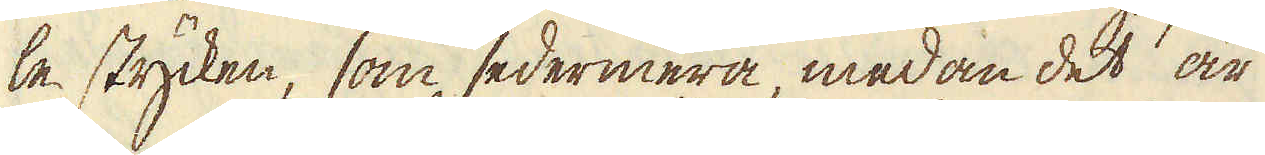le stycken, som sedermera, medan det är
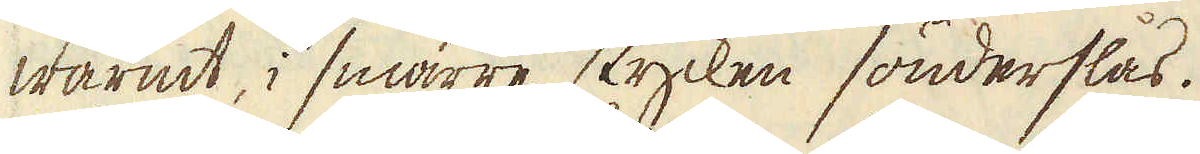warmt, i smärre stycken sönderslås.
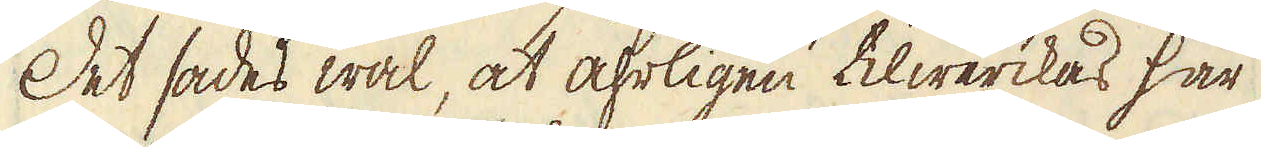Det sades wäl, at åhrligen tilwerckas här
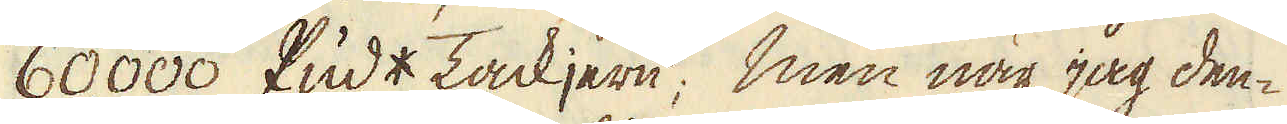60,000 Pud* Tackjern; men när jag den-
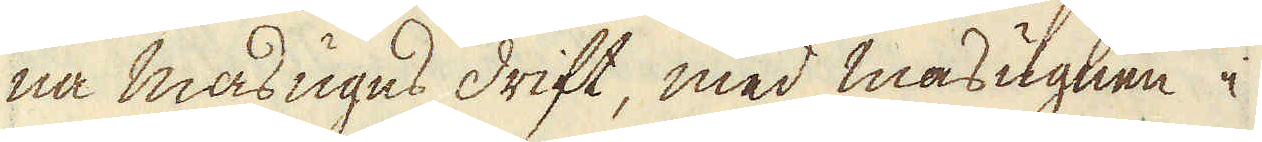na masugns drift, med masugnen i
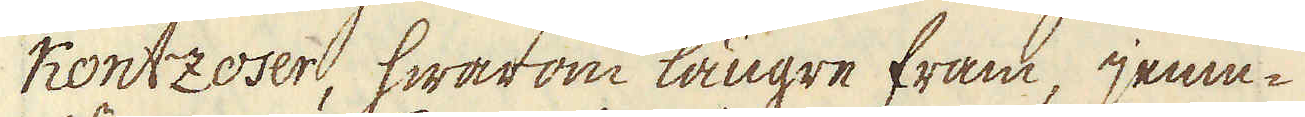Kontzoser, hwarom längre fram, jem-
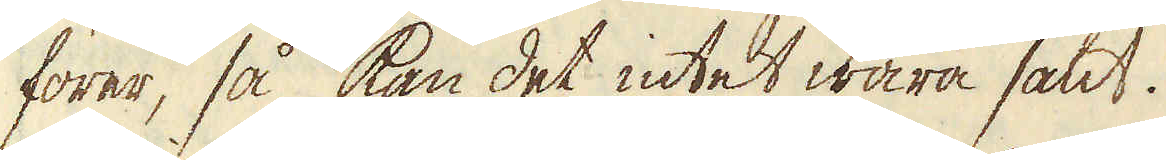förer, så kan det intet wara sant.
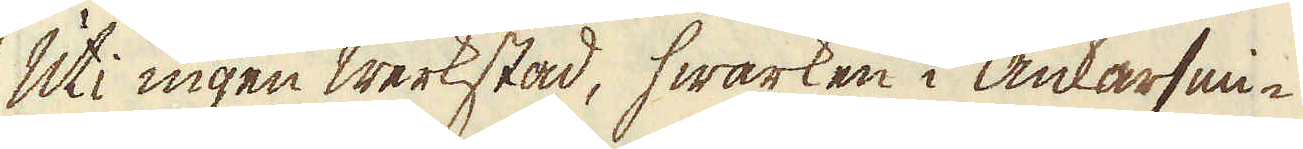Uti ingen werkstad, hwarken i Ankarsmi-
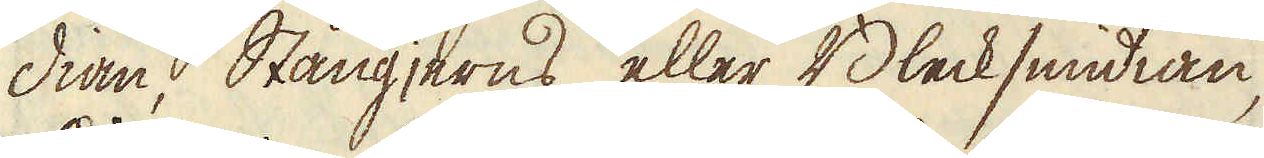dian, Stångjerns eller Blecksmidian,
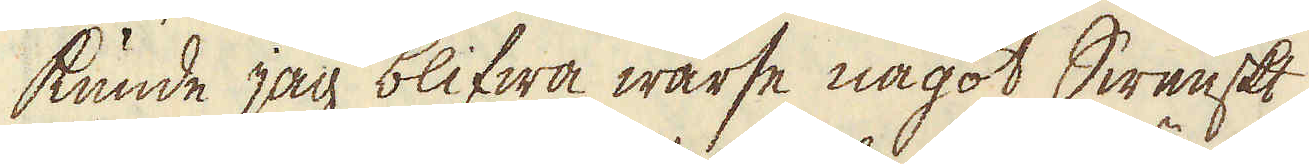kunde jag blifwa warse något Swenskt
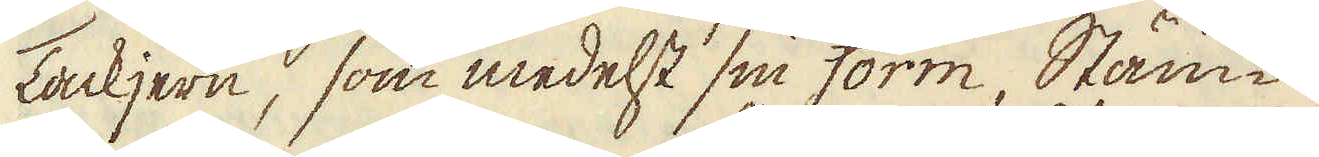Tackjern, som medelst sin form, Stäm-
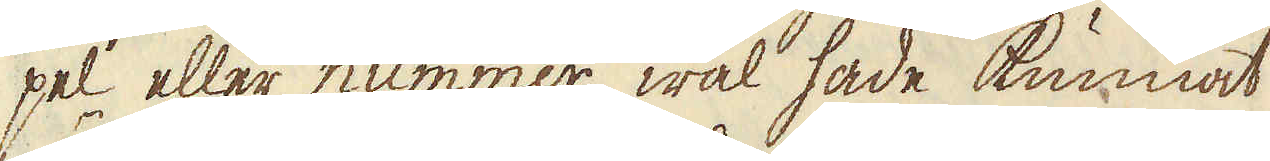pel eller nummer wäl hade kunnat
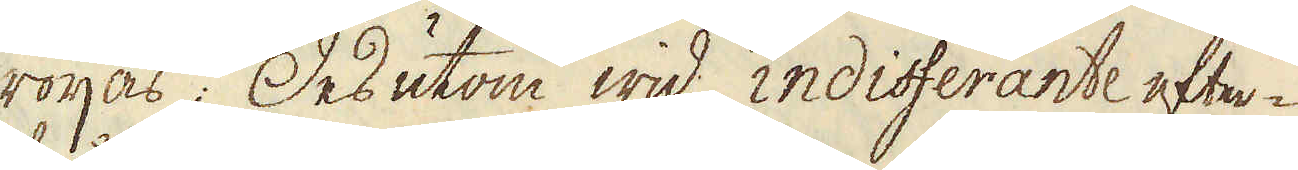röijas. Desutom wid indifferante efter-
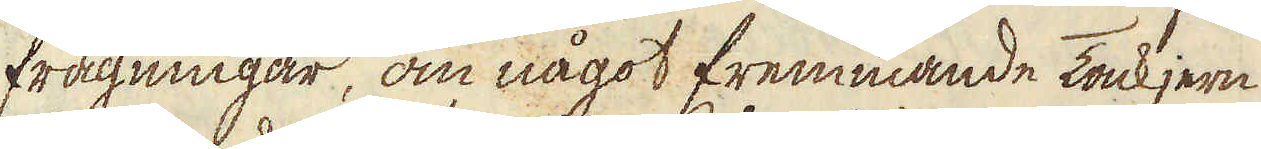frågningar, om något fremmande Tackjern
